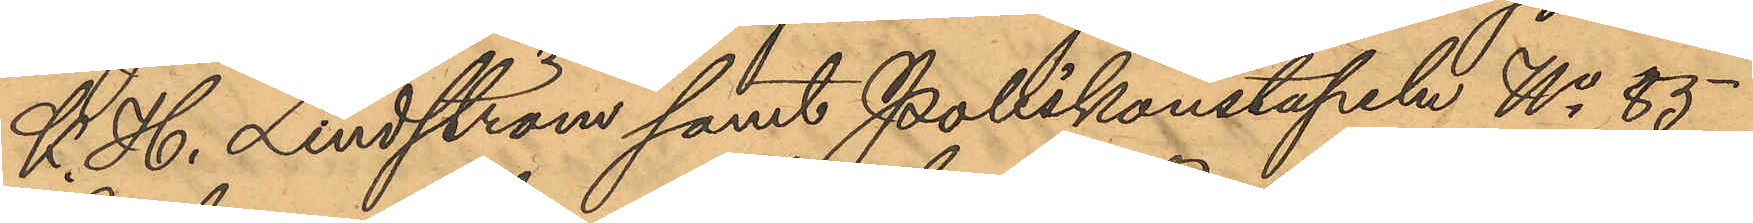K. H. Lindström samt Polikonstapeln No 85
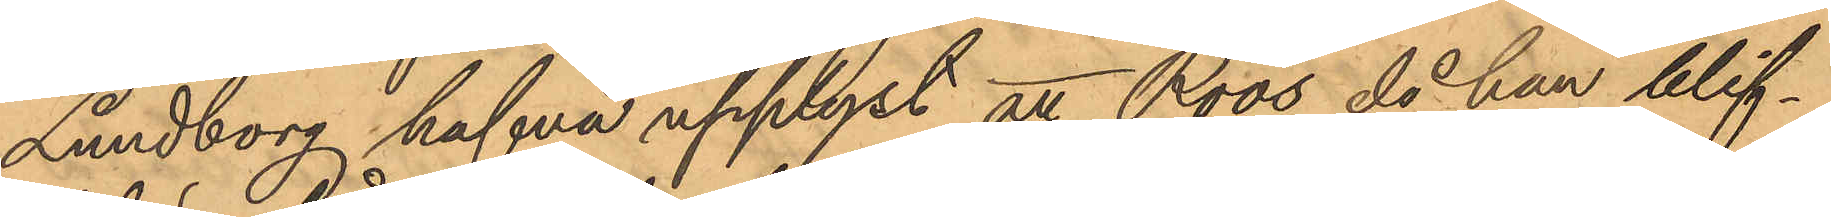Lundborg hafva upplyst att Roos då han blif¬
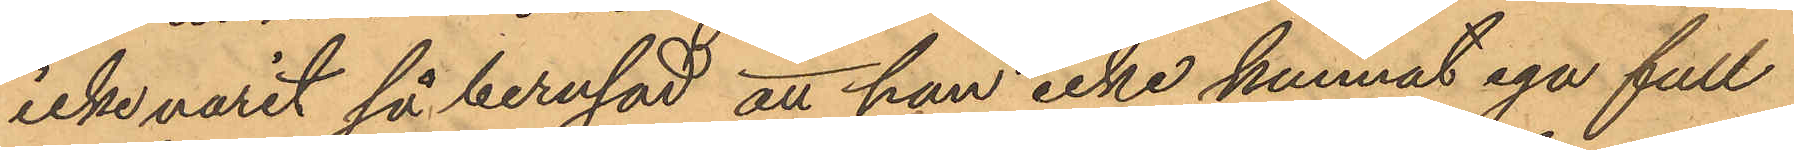icke varit så berusad, att han icke kunnat ega full
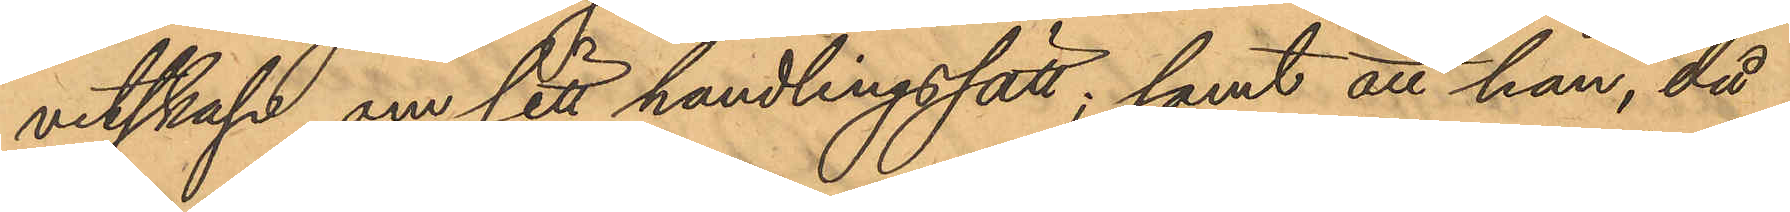vetskap om sitt handlingssätt; samt att han, då
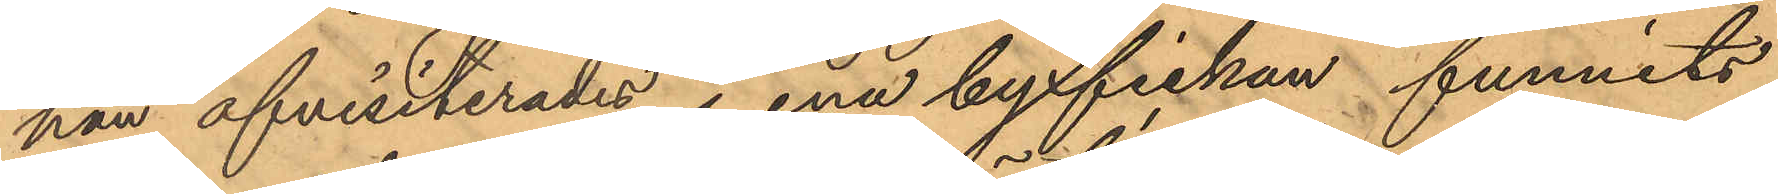han afvisiterades i ena byxfickan funnits
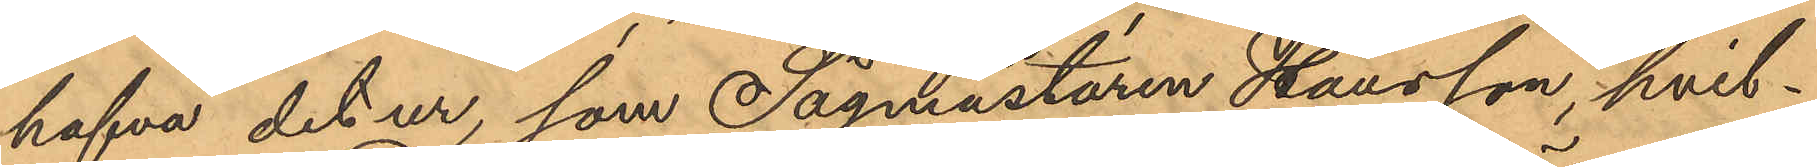hafva det ur, som Sågmästaren Hansson, hvil¬
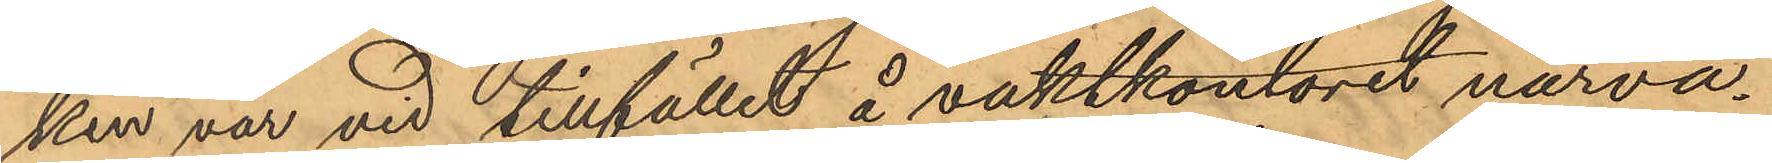ken var vid tillfället å vaktkontoret närva¬
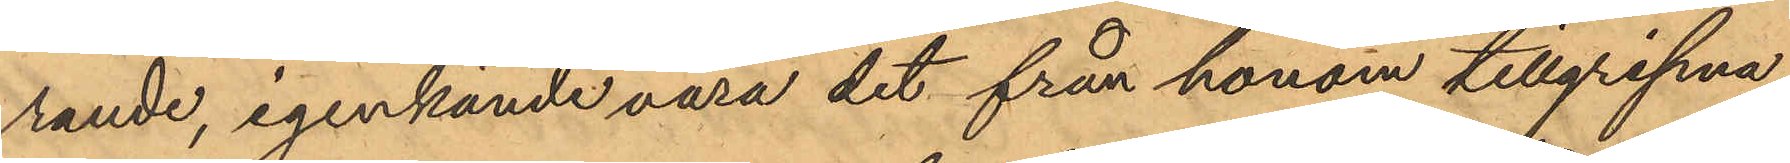rande, igenkände vara det från honom tillgripna.
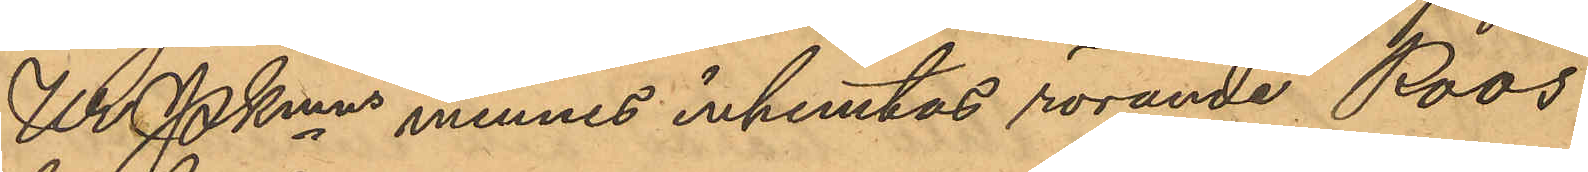Ur Pkmns minnes inhemtas rörande Roos
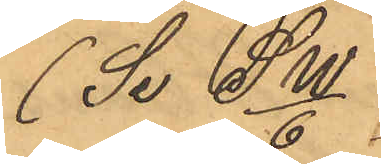(Se Sw/6)
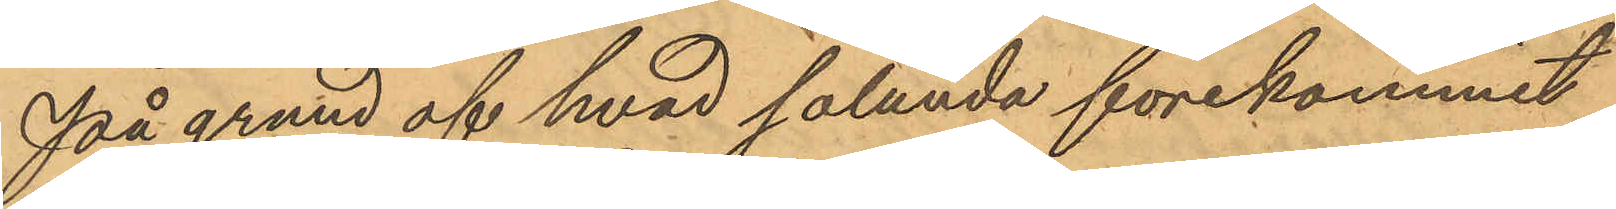På grund af hvad sålunda förekommit
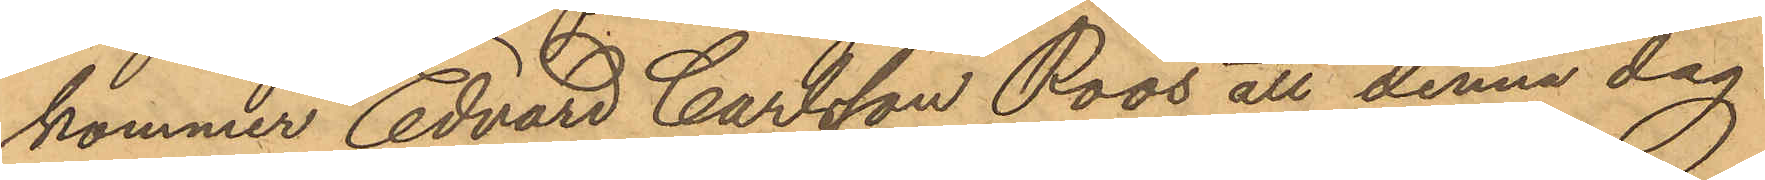kommer Edvard Carlsson Roos att denna dag
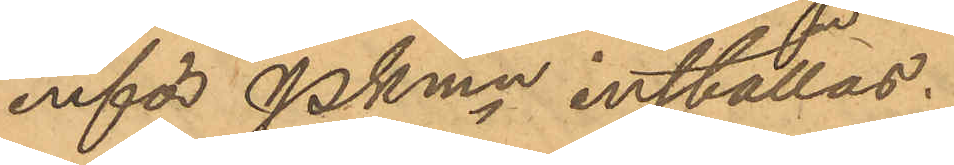inför PKmn inställas.
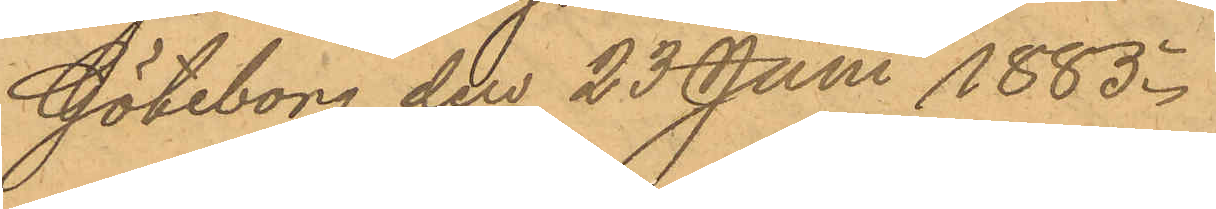Göteborg den 23 Juni 1885.
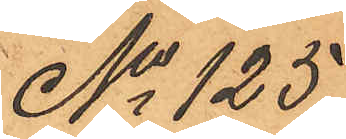No 125
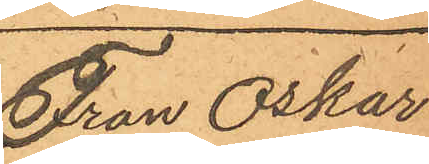Fran Oskar
